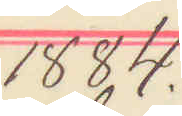1884.
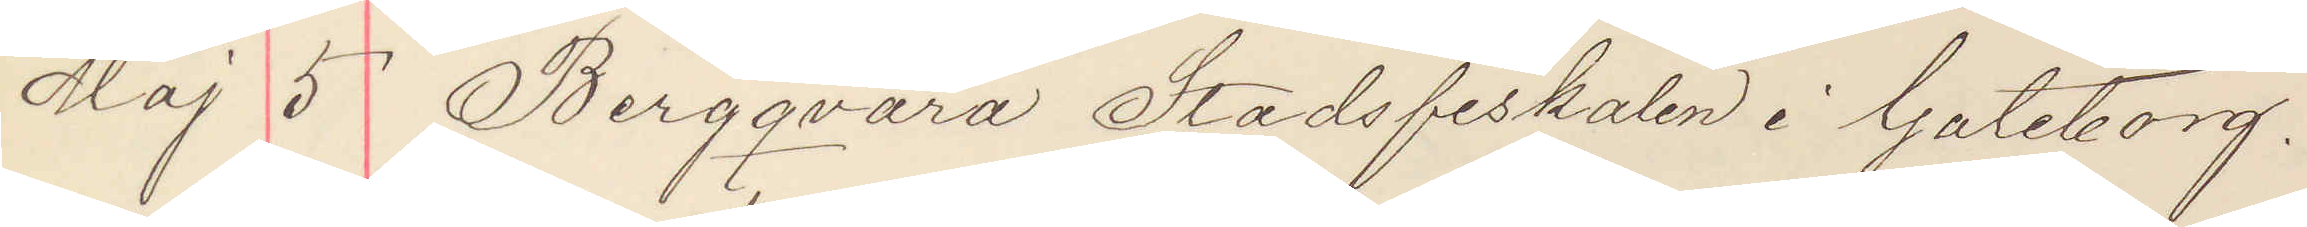Maj 5 Bergqvara Stadsfiskalen i Göteborg.
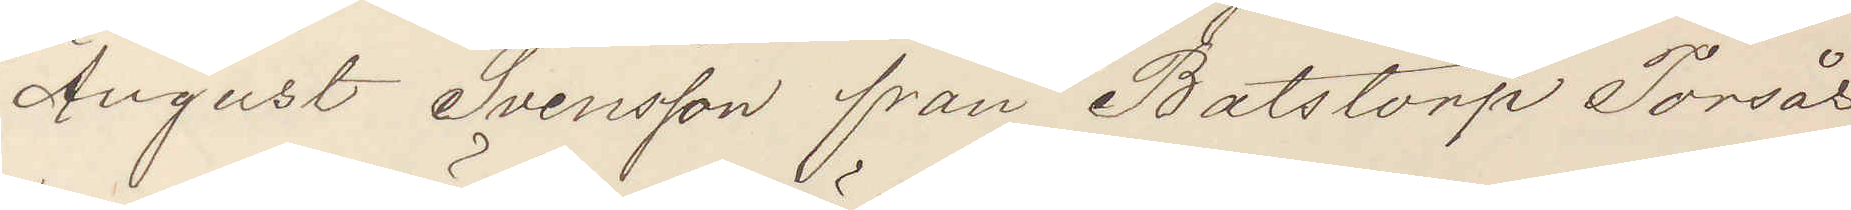August Svensson från Balstorp Torsås
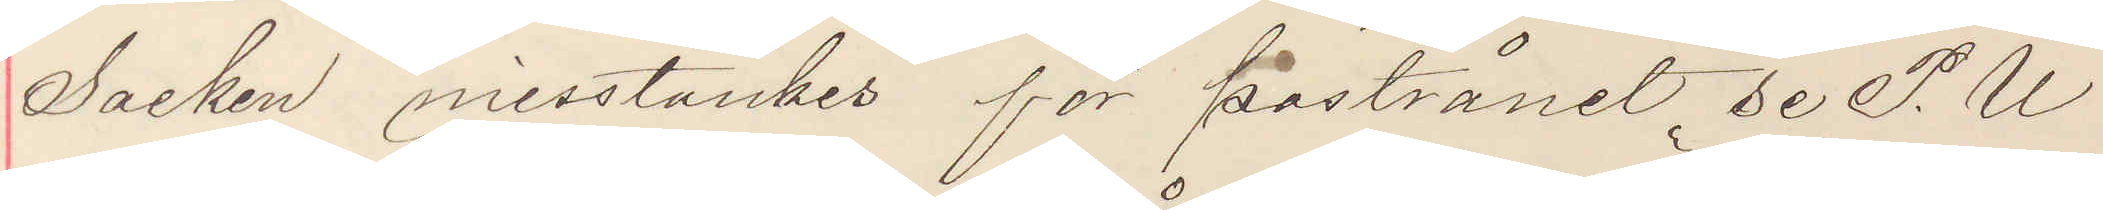Socken misstänkes för postrånet, se P. U
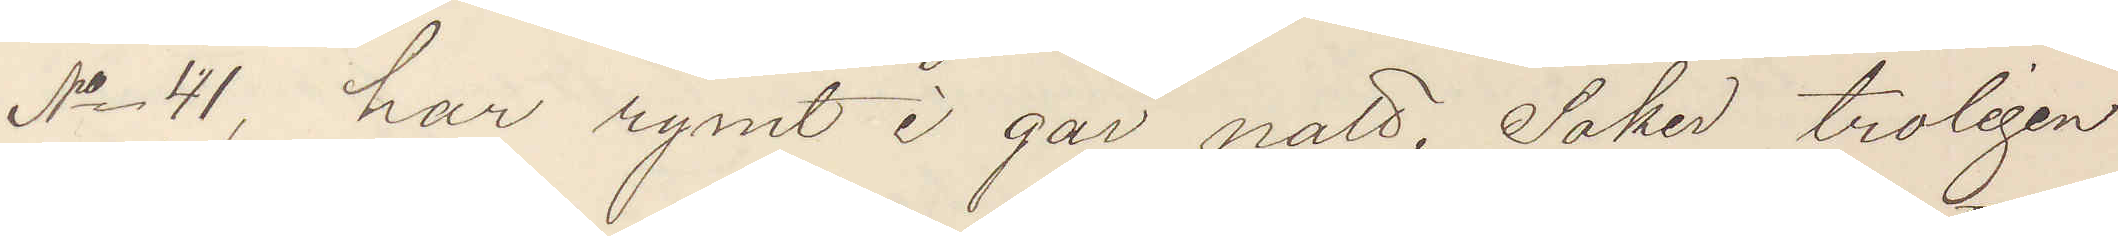No 41, har rymt i går natt. Söker troligen
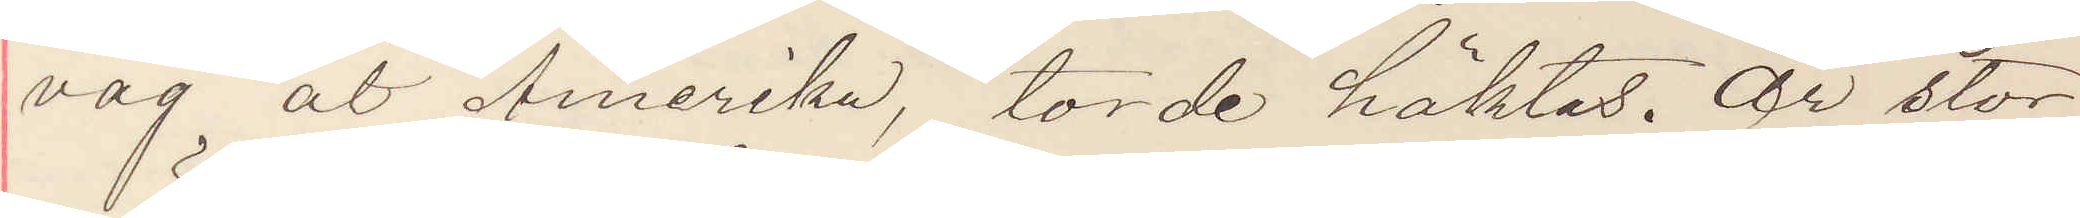väg åt Amerika, torde häktas. Är stor¬
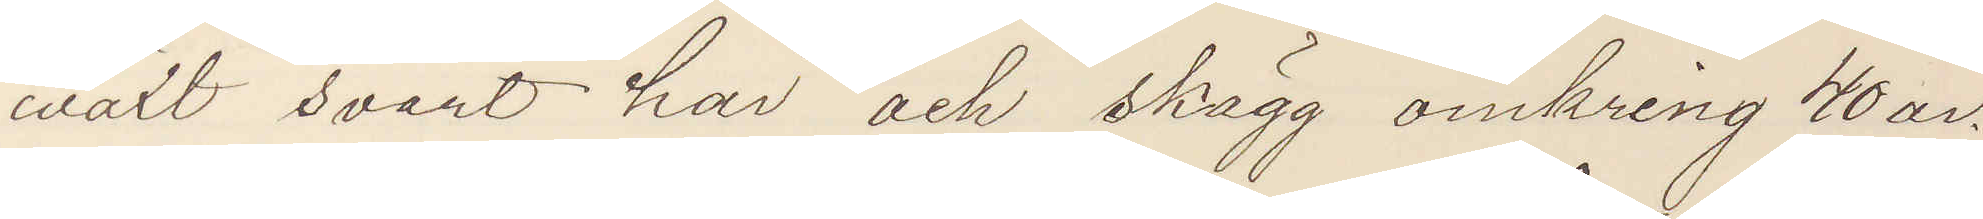wäxt svart hår och skägg omkring 40 år.
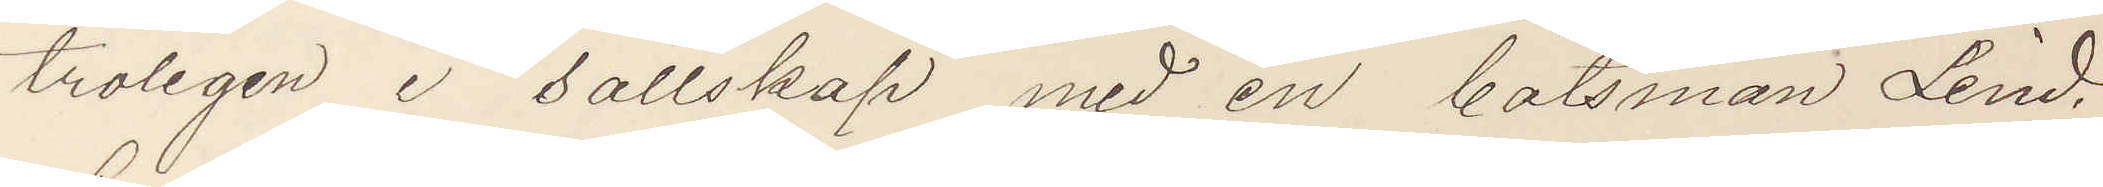troligen i sällskap med en båtsman Lind.
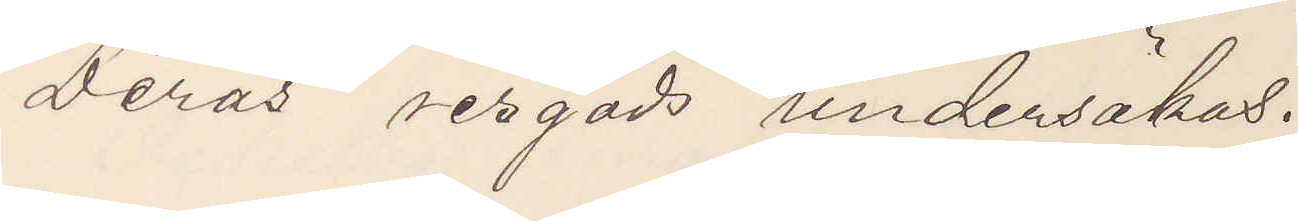Deras resgods undersökas.
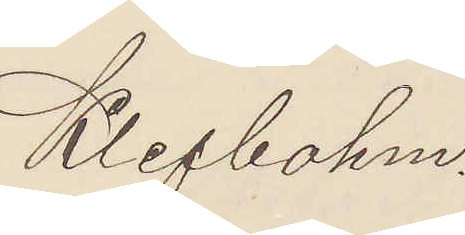Klefbohm.
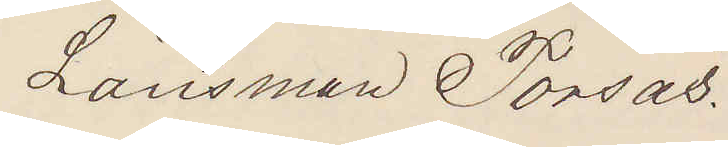Länsman Torsås.
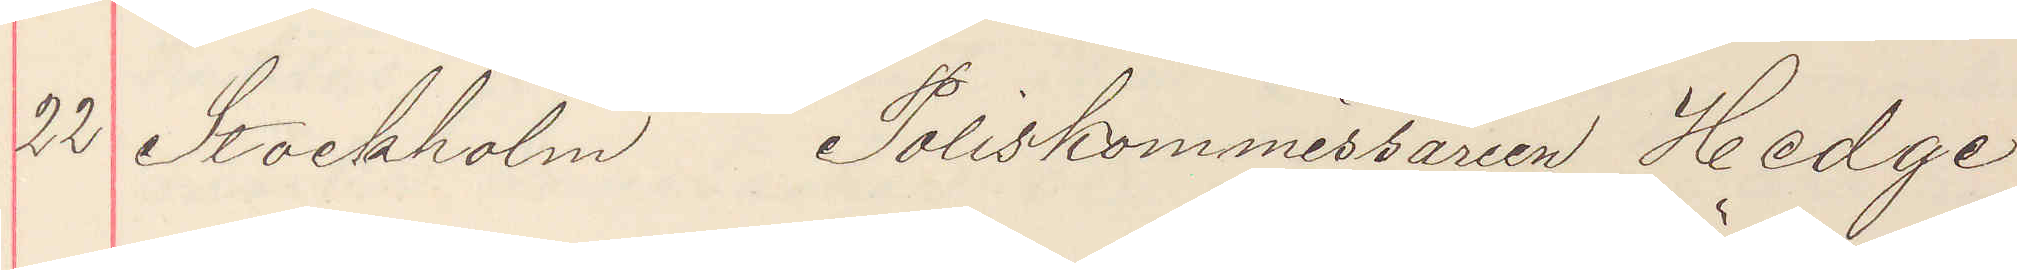22 Stockholm  Poliskommissarien Hedge
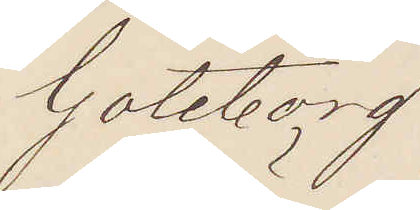Göteborg
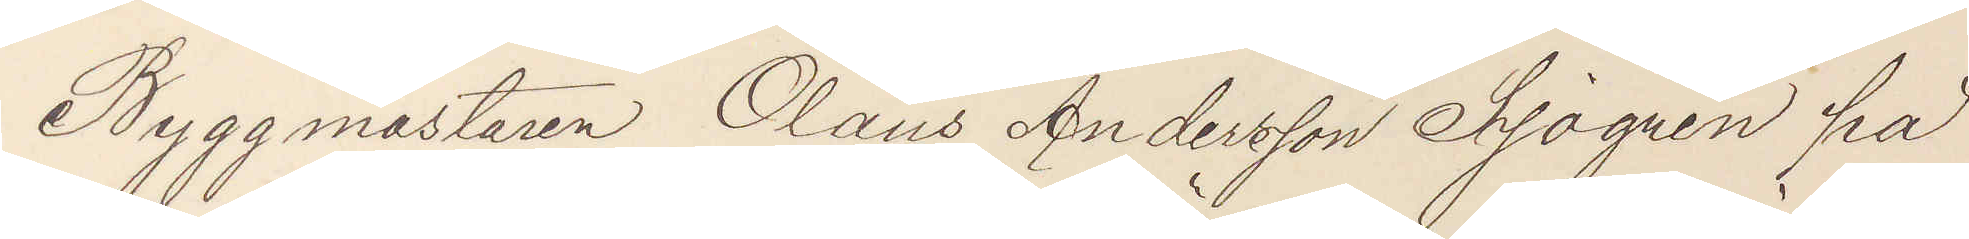Byggmästaren Olaus Andersson Sjögren på
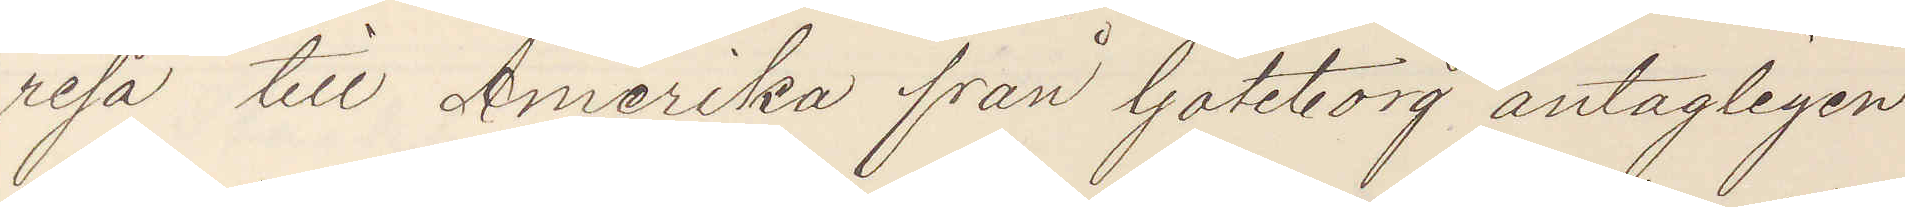resa till Amerika från Göteborg antagligen
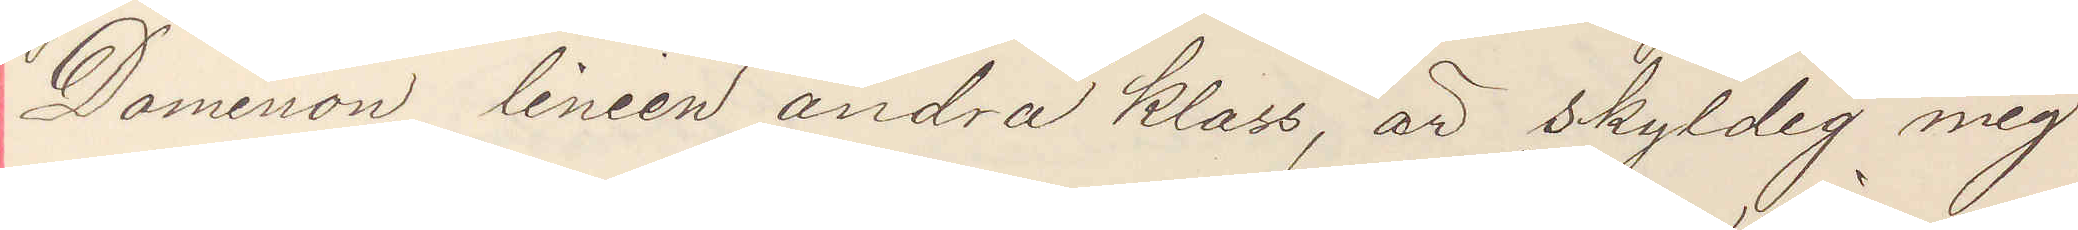Dominion linien andra klass, är skyldig mig
